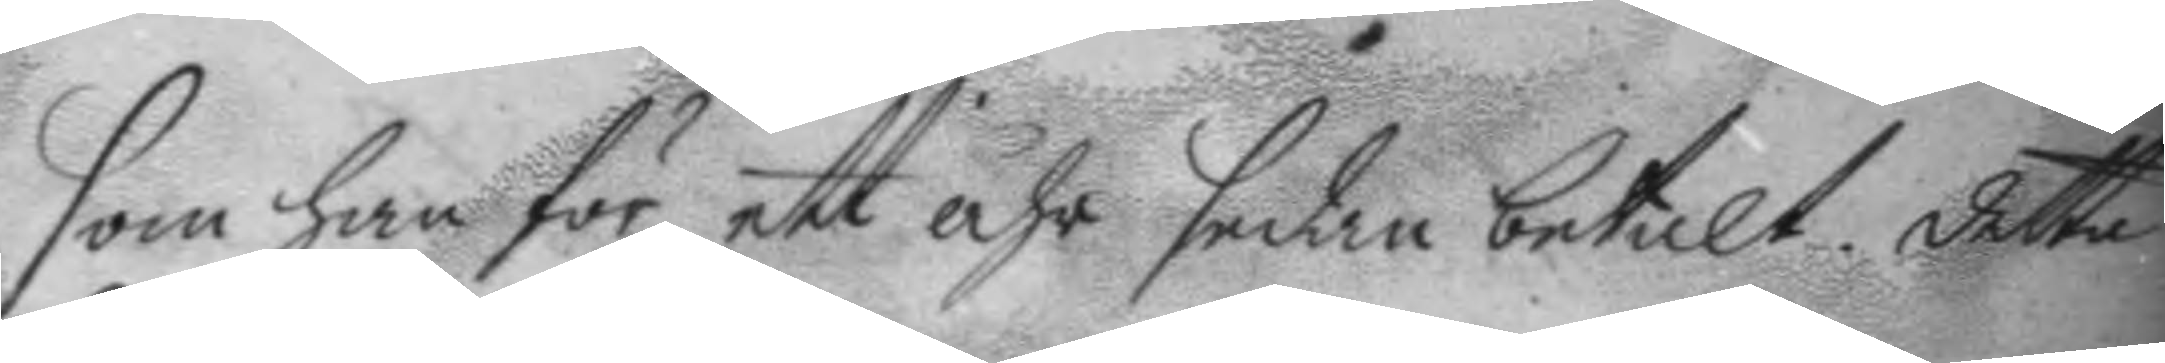som han för ett åhr sedan betalt. detta
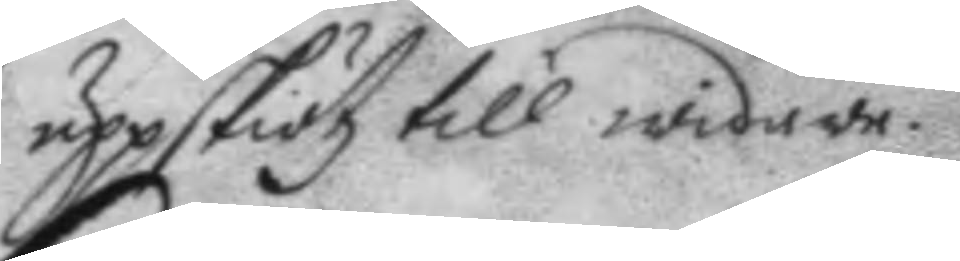uppskiötz till widare.
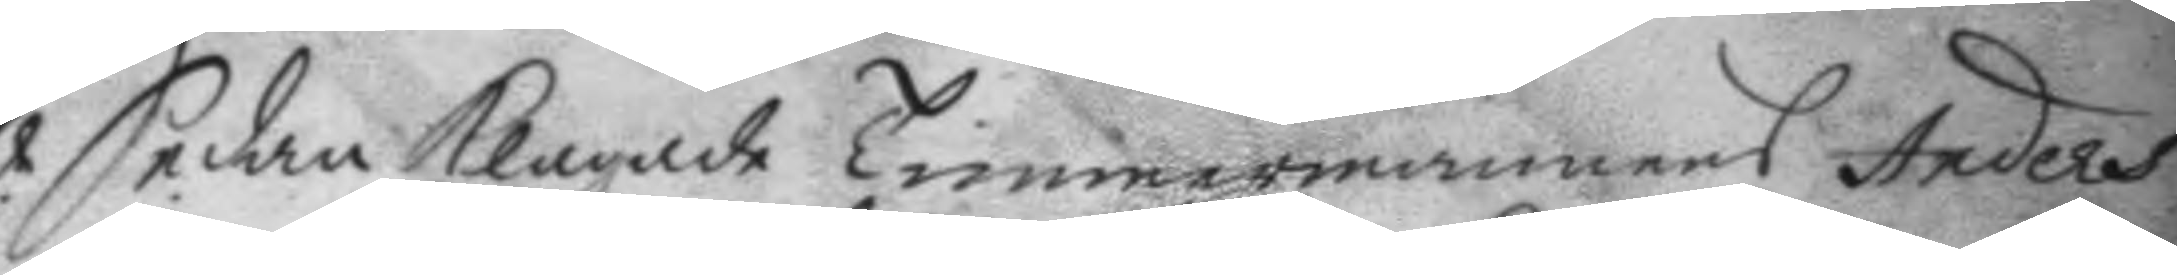Sedan Klagade timmermannens Anders
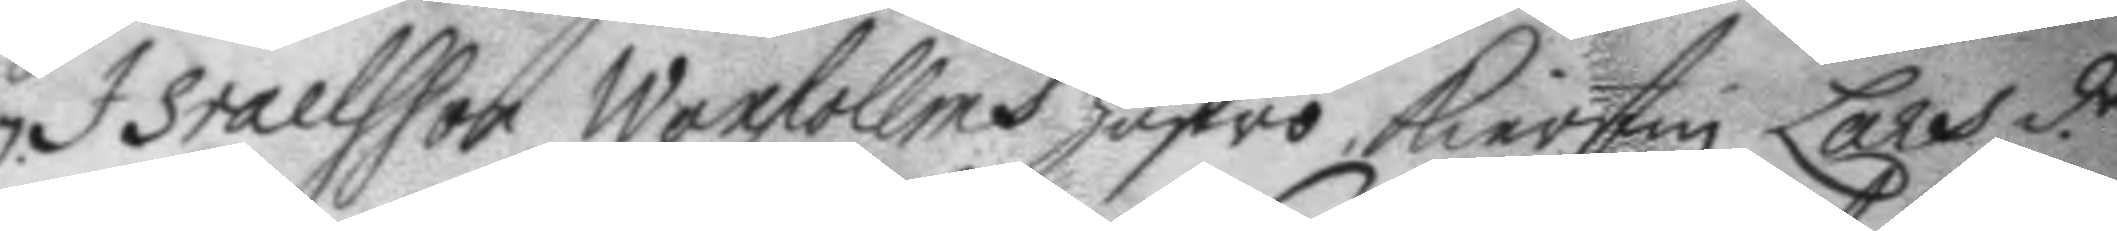Israelsson Waxhollms hustro, Kierstin Lars d.r
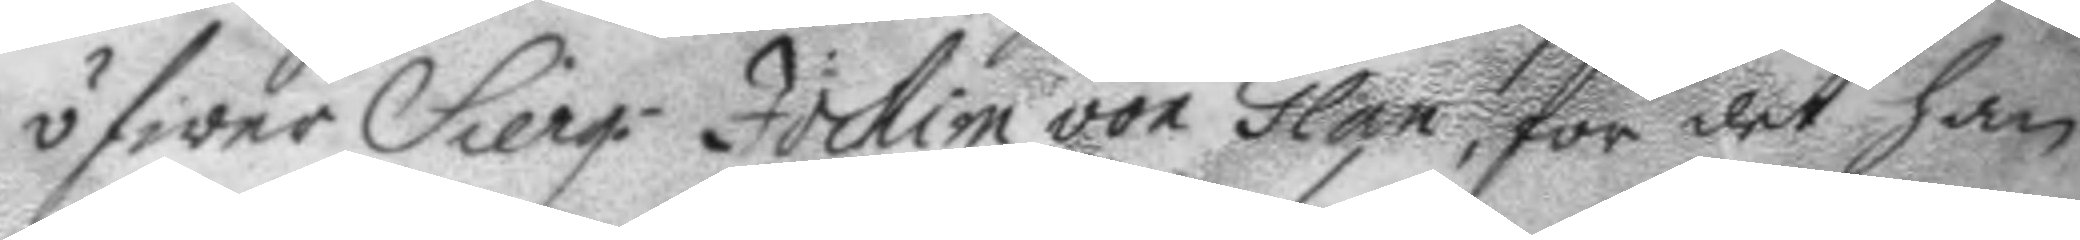öfwer Sierg. Jochim von Glan, för det han
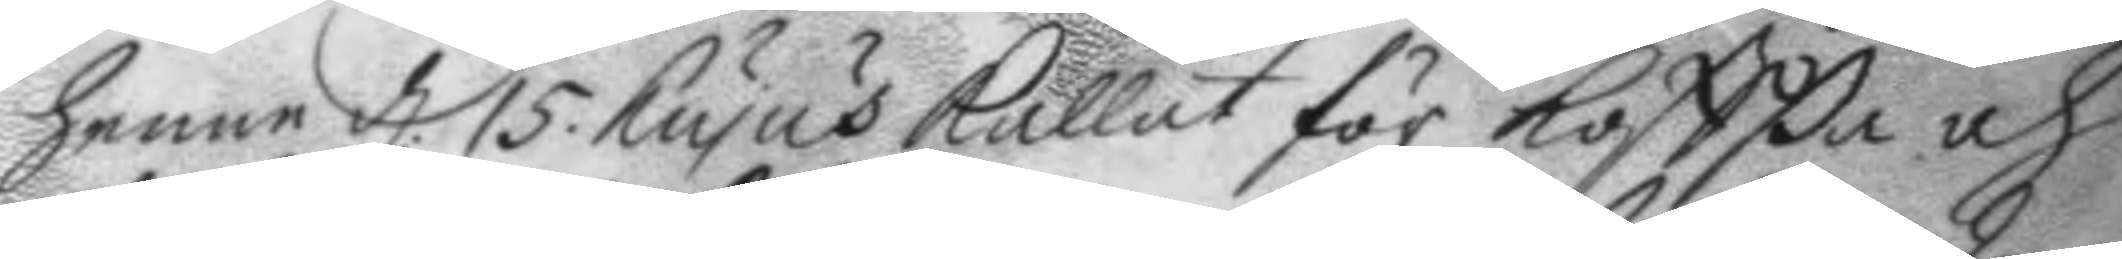henne d. 15. hujus Kallat för koffßa och
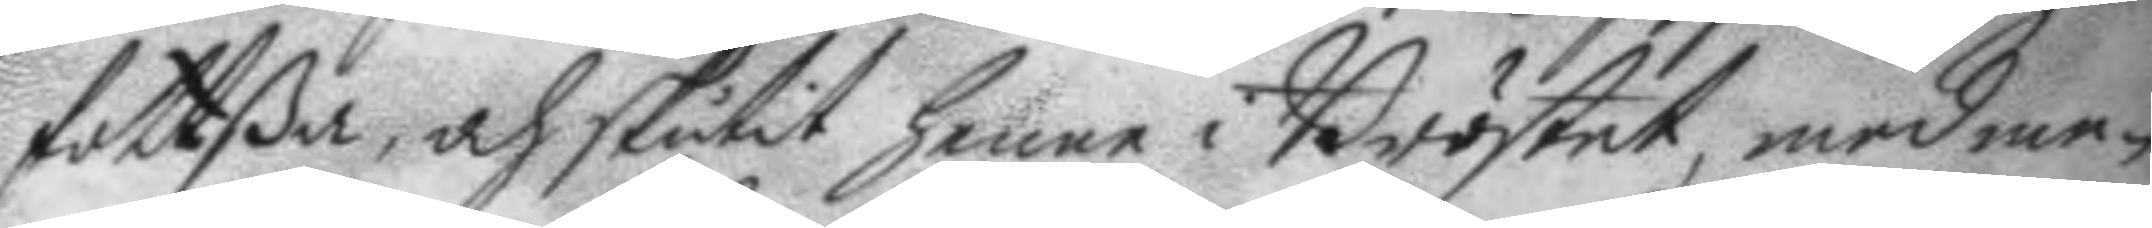fottßa, och skutit henne i Bröstet, med me¬
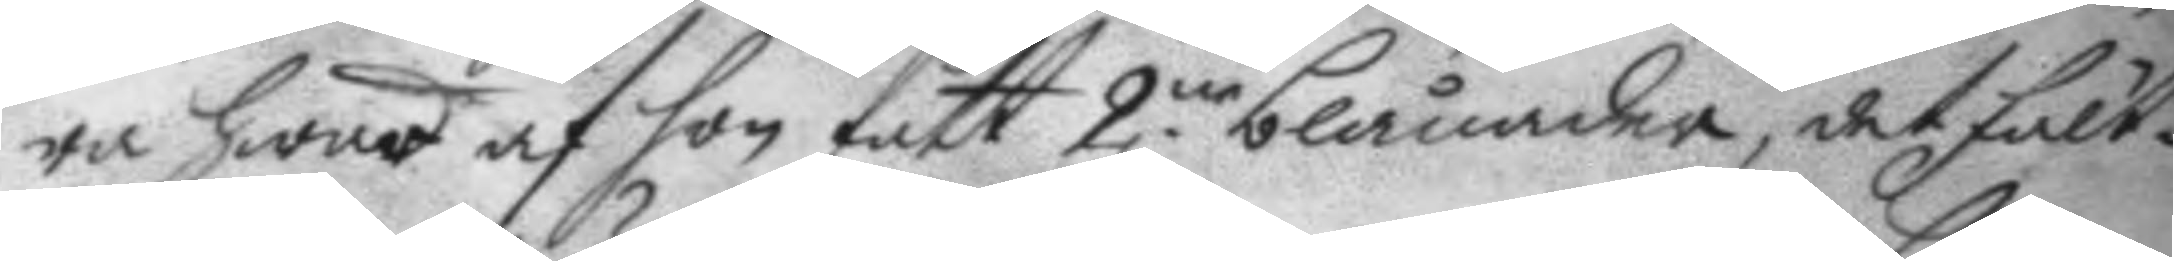ra hwad af hon fått 2.ne blånader, det fält¬
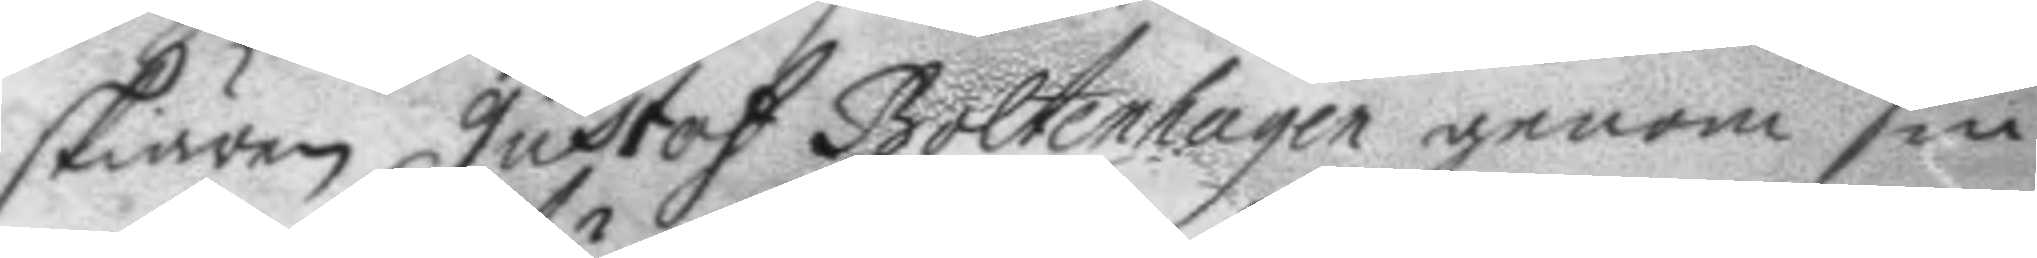skiären Gustaf Bolenhagen genom sin
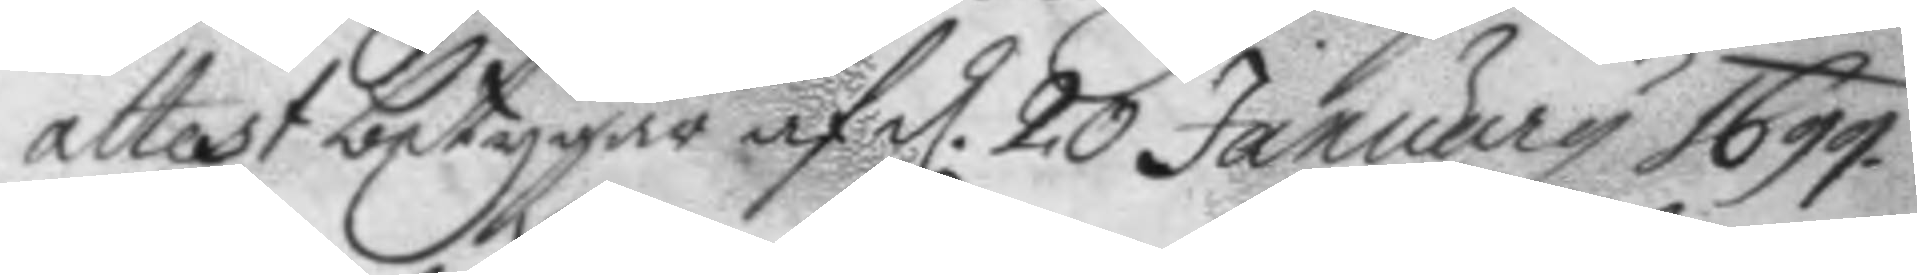attest betygar af d. 20 january 1699.
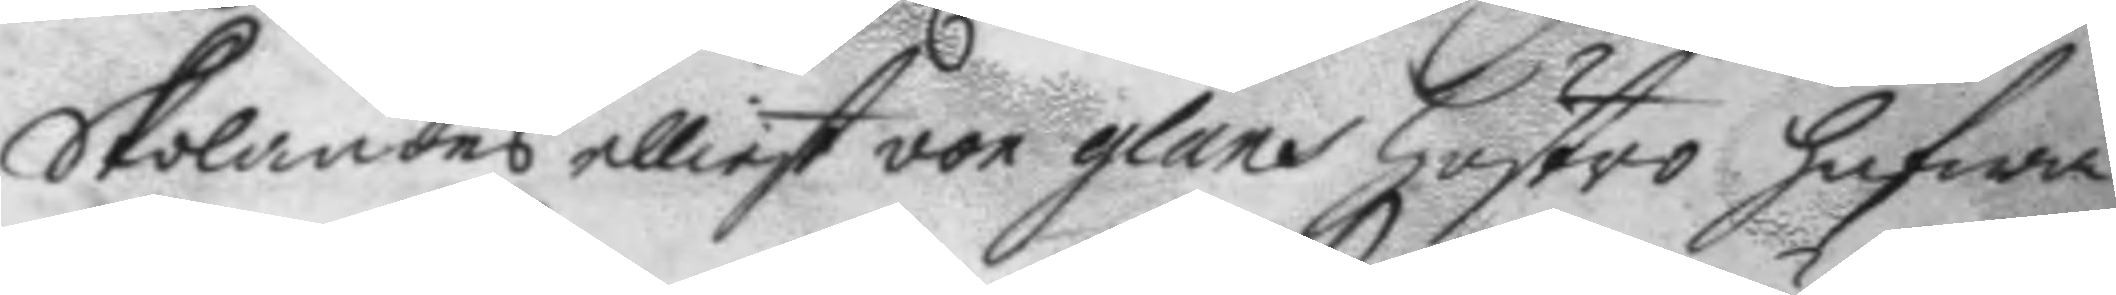Skolandes elliest von glans hustro hafwa
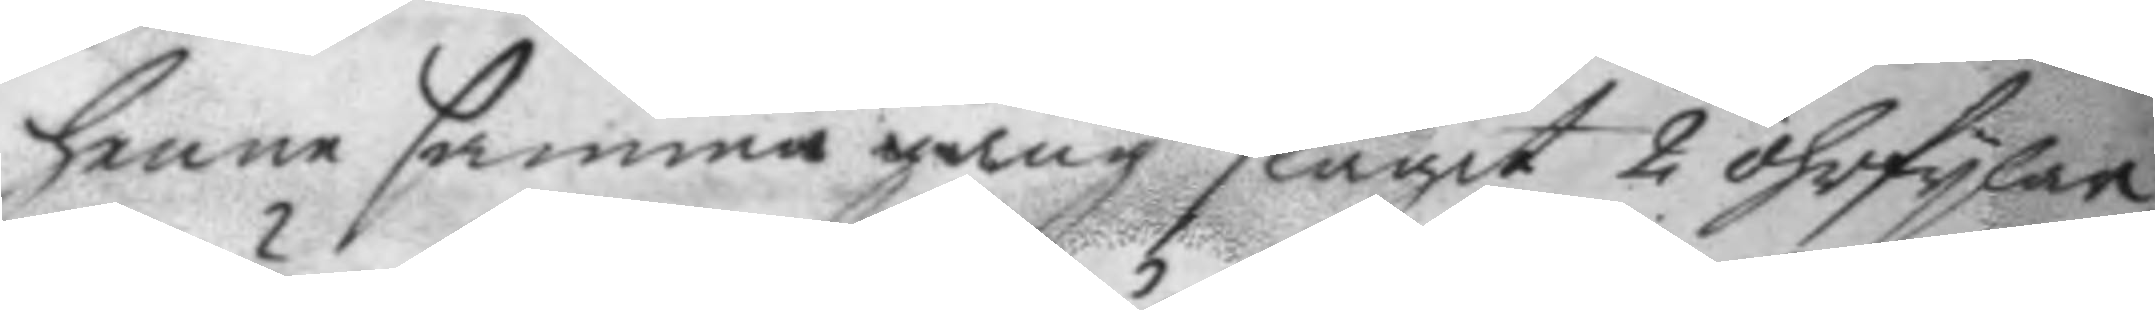henne samma gång slagit 2 öhrfilar
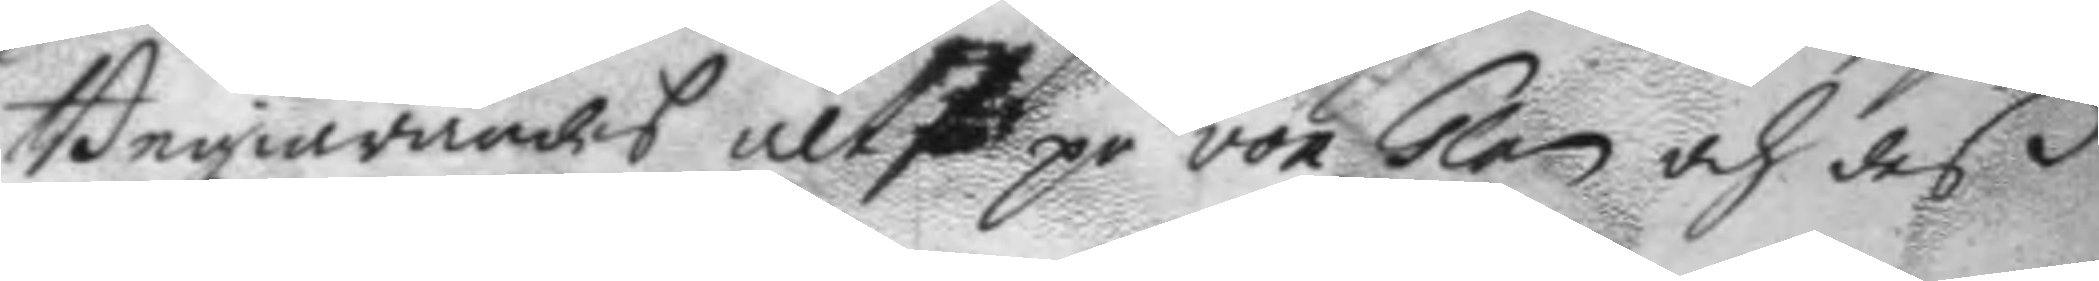Begiärandes altså på von Glan och des
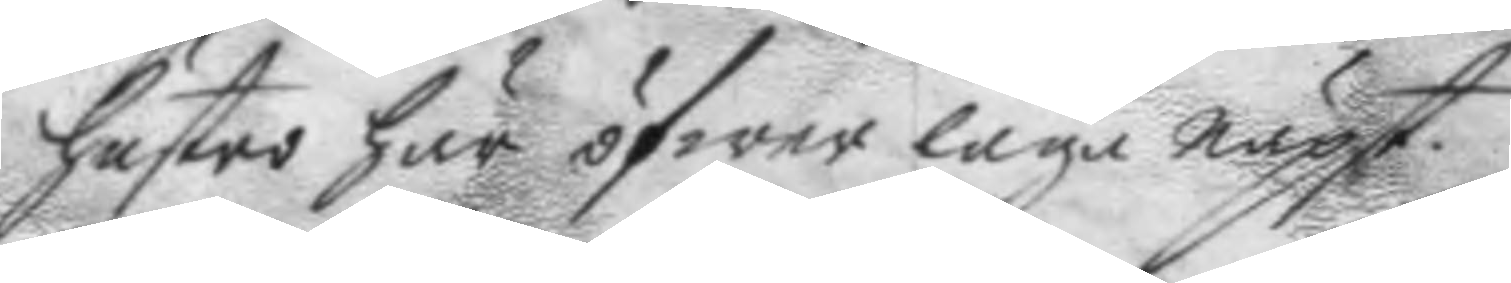hustro här öfwer laga näpst.
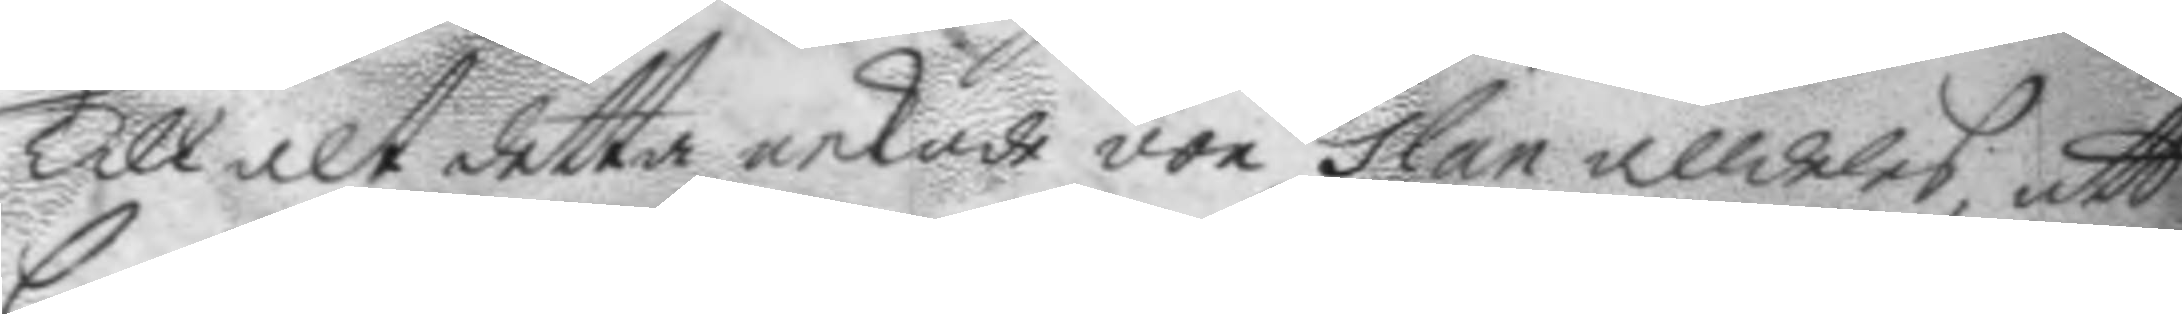Tull alt detta nekar von Glan alldeles, att
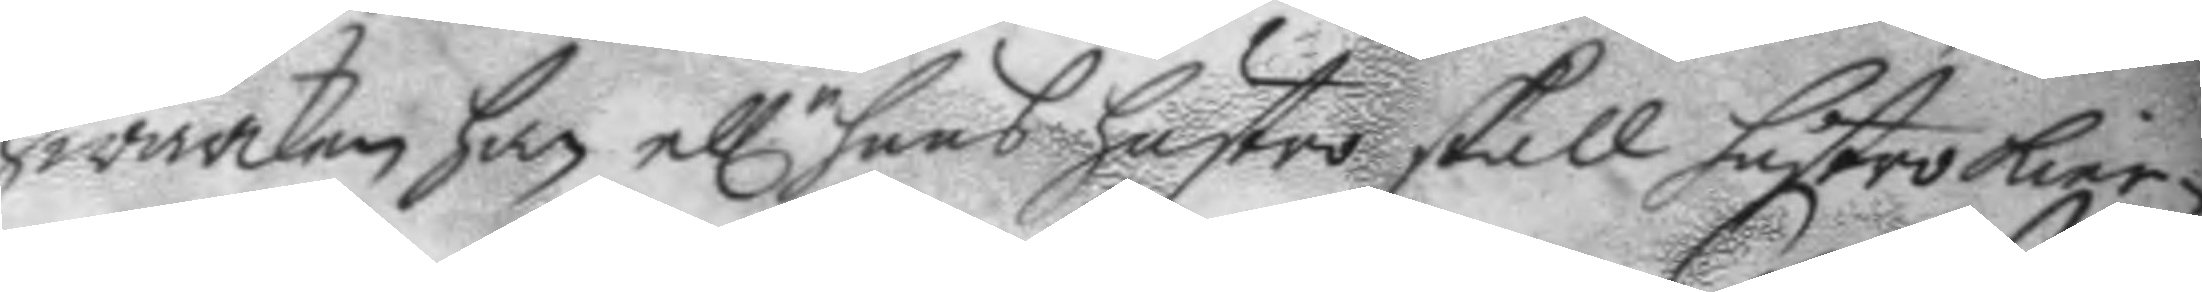Hwarken han ell.r hans hustro skall hustro Kier¬
